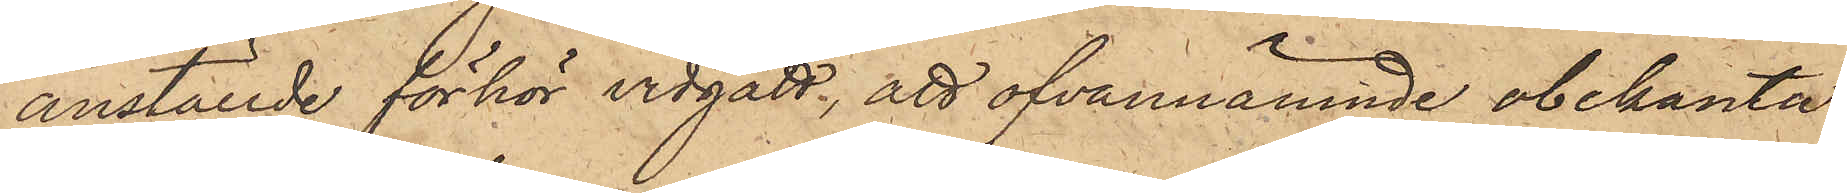anställde förhör vidgått, att ofvannämnde obekanta
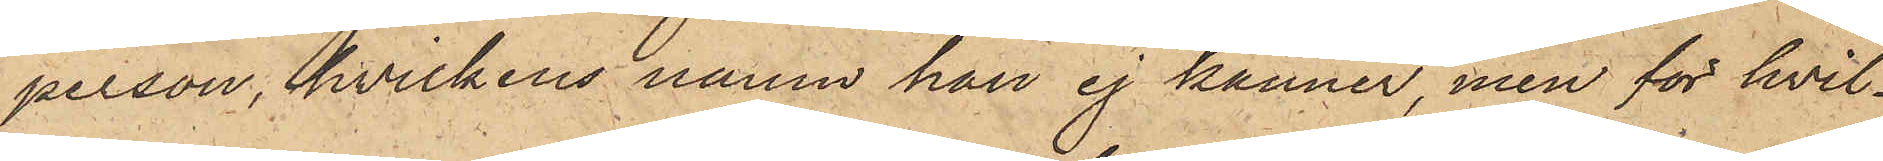person, hvilkens namn han ej känner, men för hvil¬
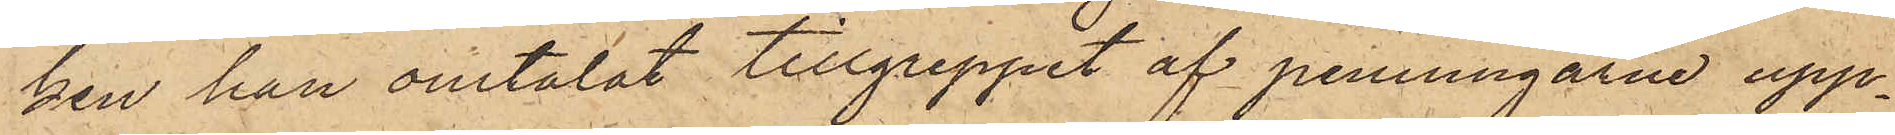ken han omtalat tillgreppet af penningarne upp¬
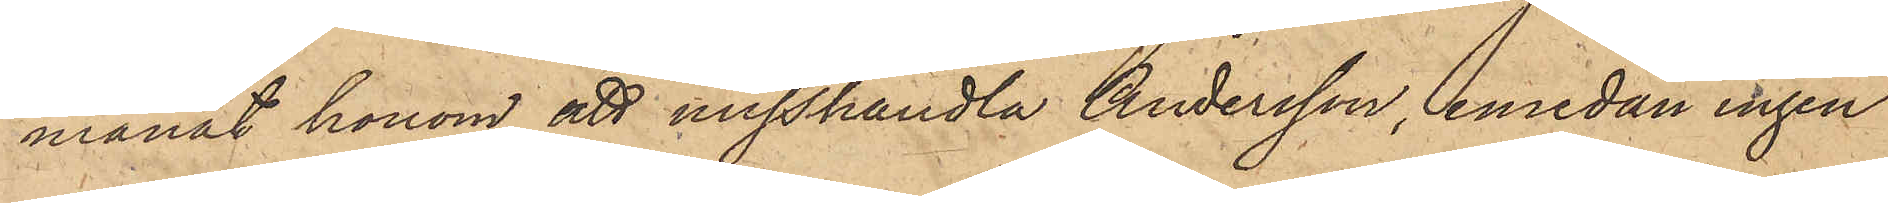manat honom att misshandla Andersson, emedan ingen
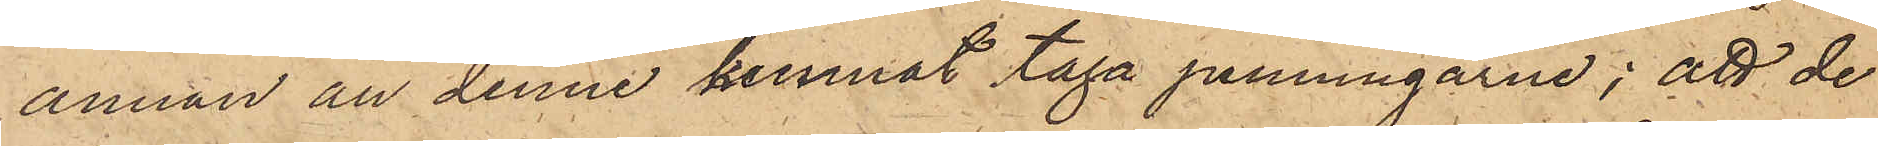annan än denne kunnat taga penningarne; att de
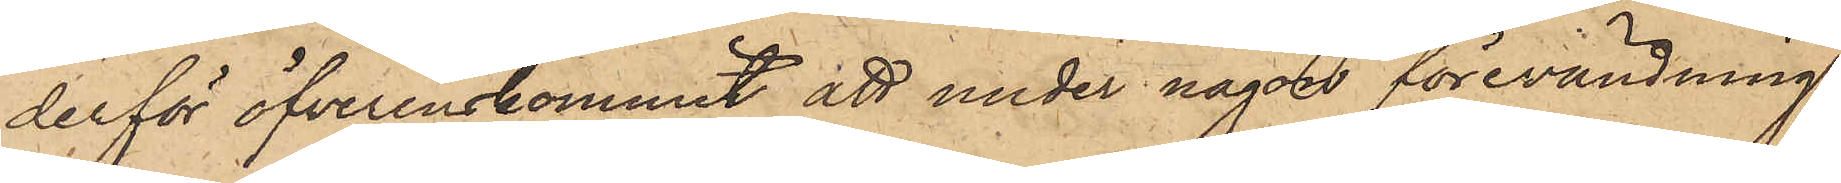derför öfverenskommit att under någon förevändning
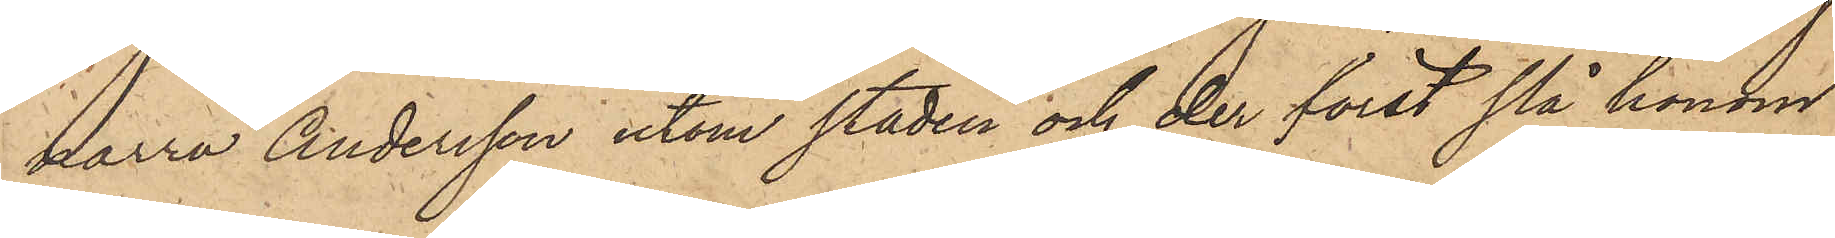narra Andersson utom staden och der först slå honom
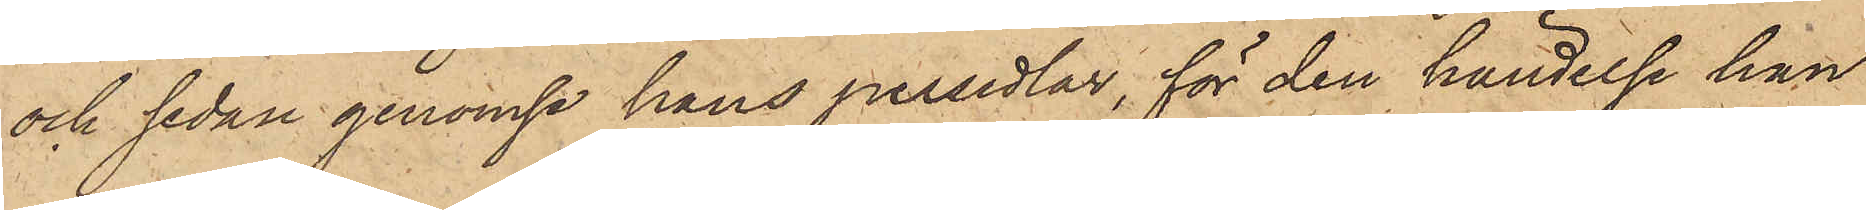och sedan genomse hans persedlar, för den händelse han
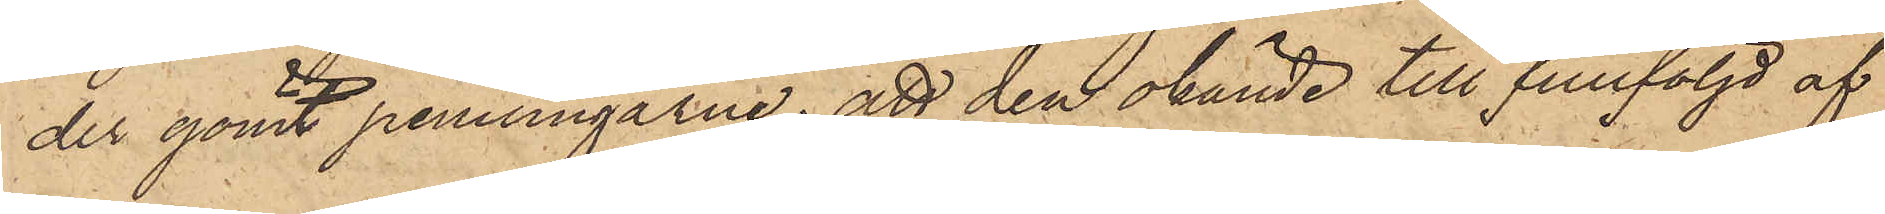der gömt penningarne; att den okände till fullföljd af
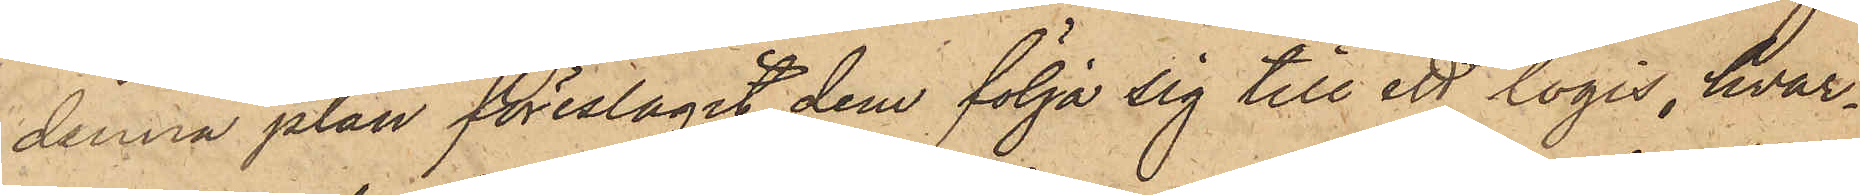denna plan föreslagit dem följa sig till ett logis, hvar¬
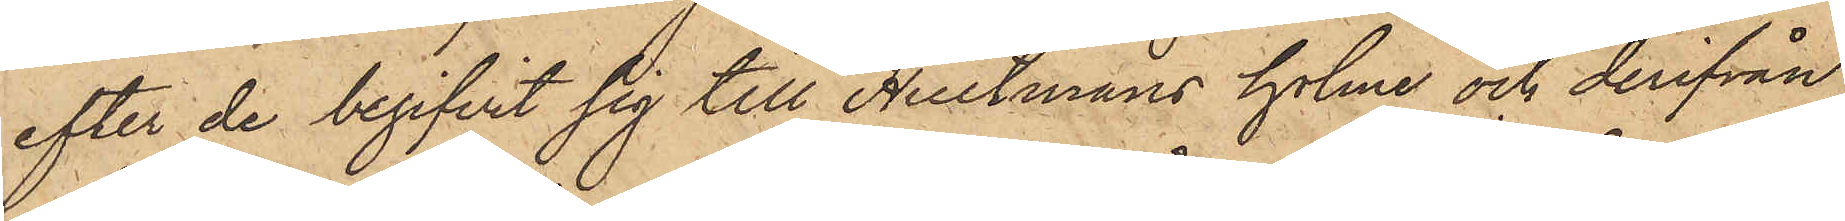efter de begifvit sig till Hultmans holme och derifrån
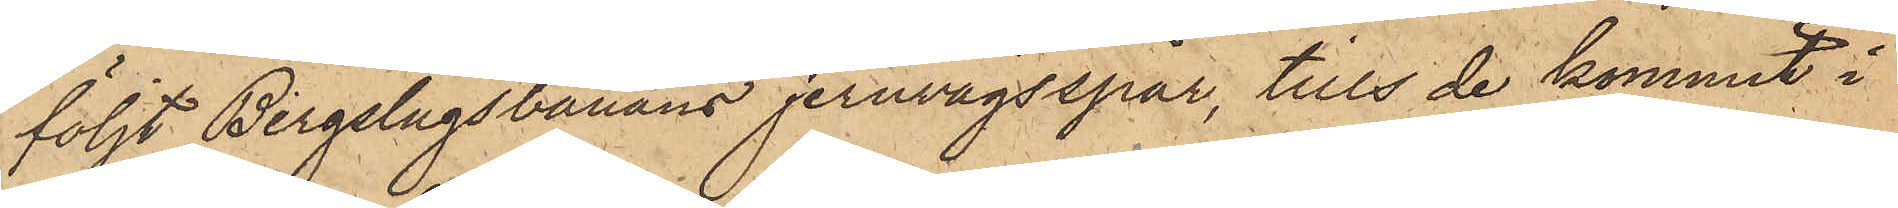följt Bergslagsbanans jernvägsspår, tills de kommit i
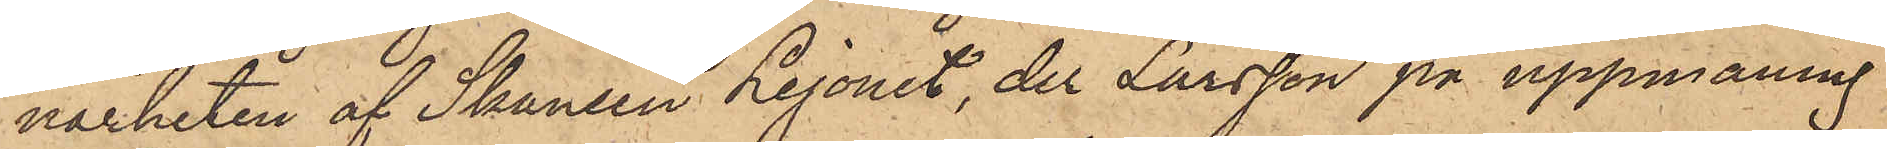närheten af Skansen Lejonet, der Larsson på uppmaning
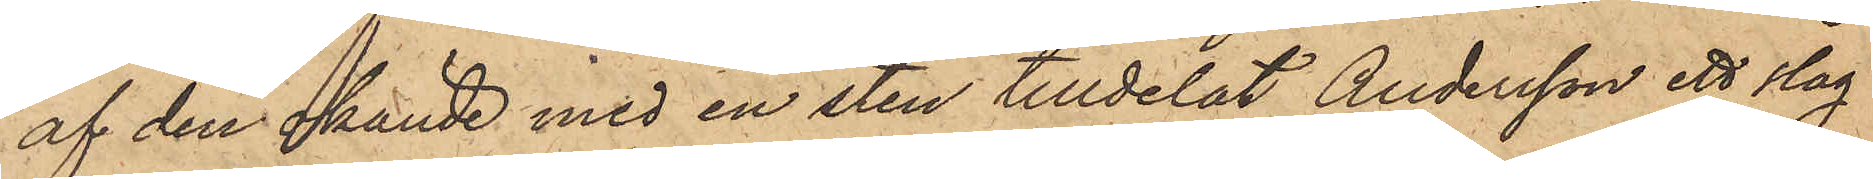af den okände med en sten tilldelat Andersson ett slag
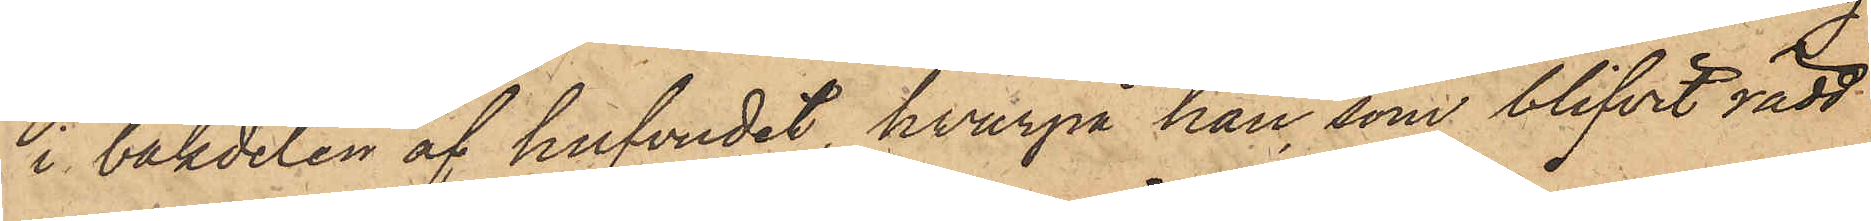i bakdelen af hufvudet, hvarpå han, som blifvit rädd
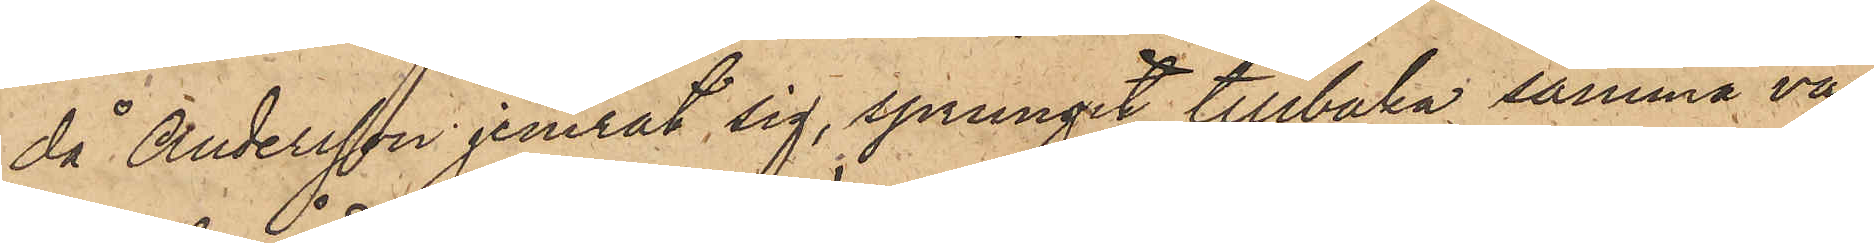då Andersson jemrat sig, sprungit tillbaka samma väg
